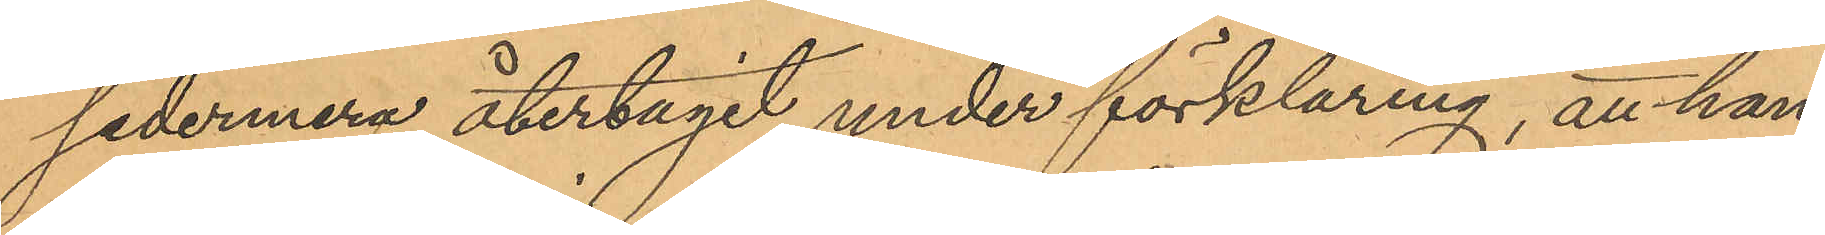sedermera återtagit under förklaring, att han,
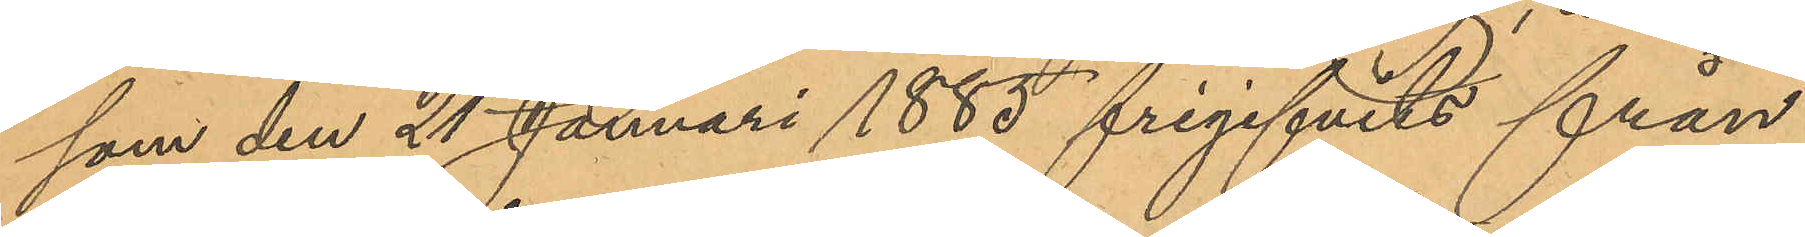som den 21 Januari 1885 frigifvits från
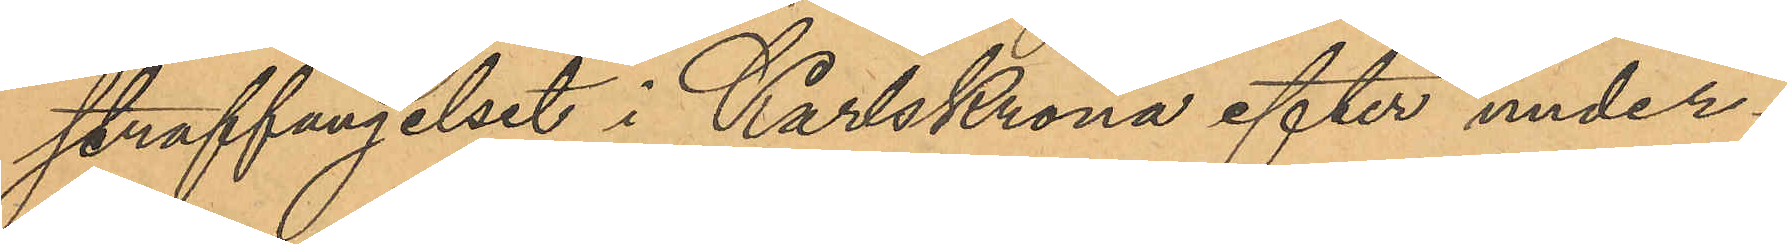straffängelset i Karlskrona efter under¬
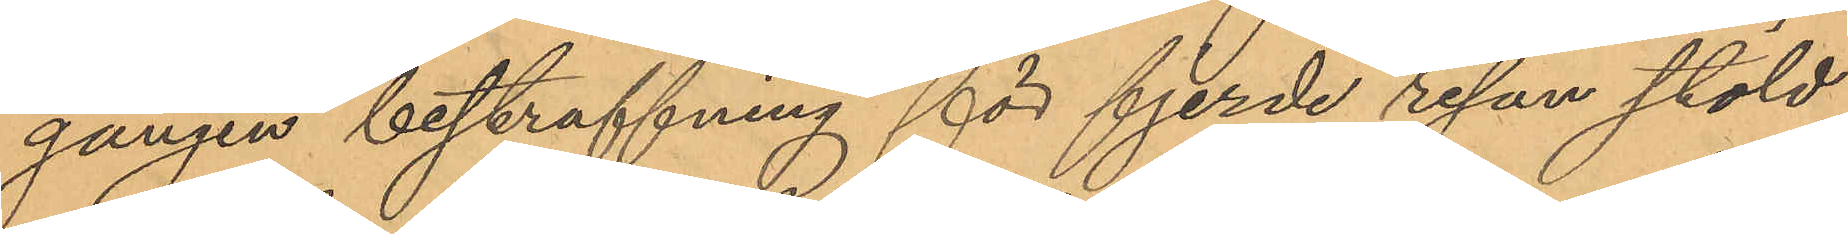gången bestraffning för fjerde resan stöld,
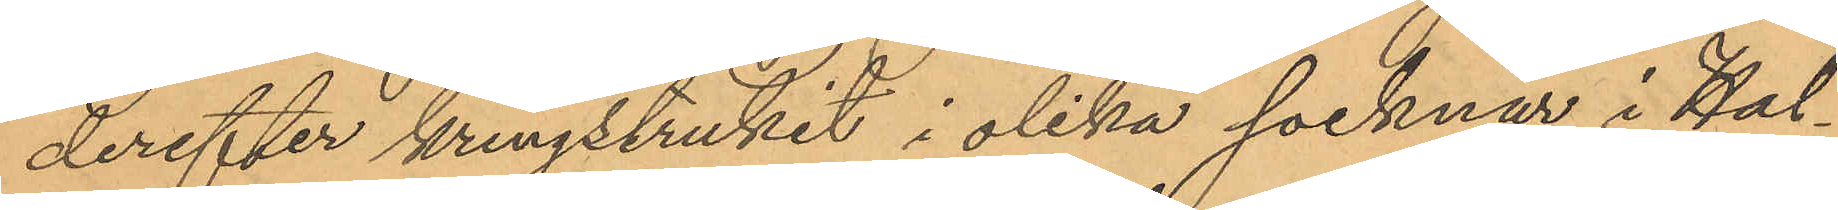derefter kringstrukit i olika socknar i Hal¬
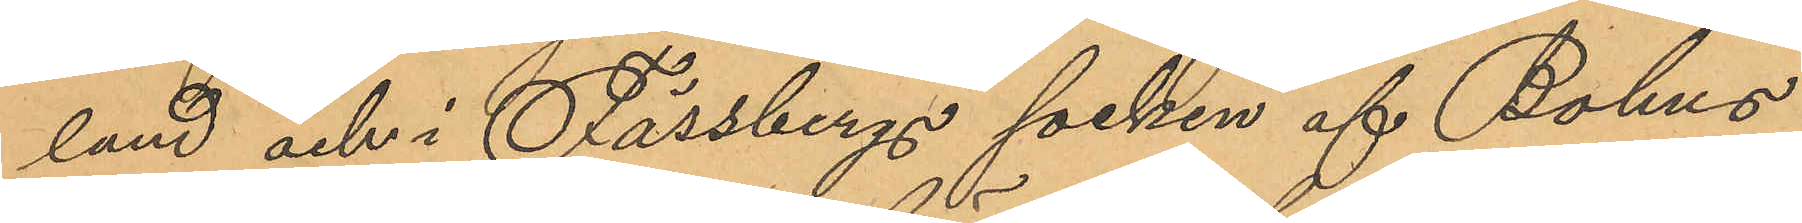land och i Fässbergs socken af Bohus
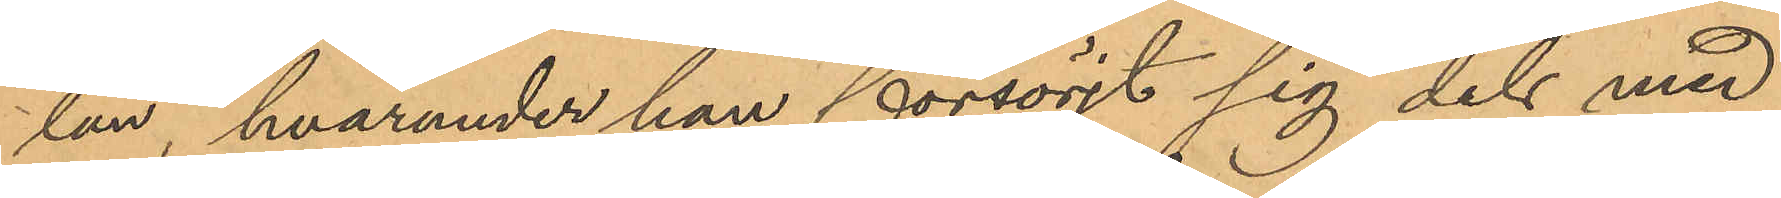län, hvarunder han försörjt sig dels med
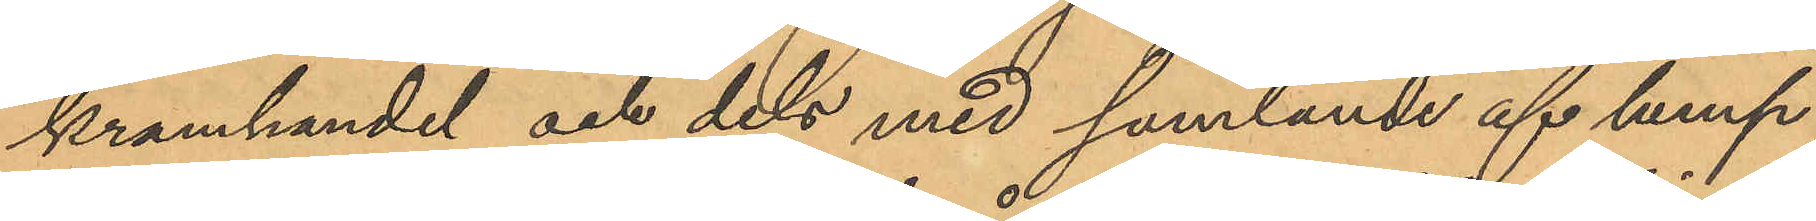kramhandel och dels med samlande af lump;
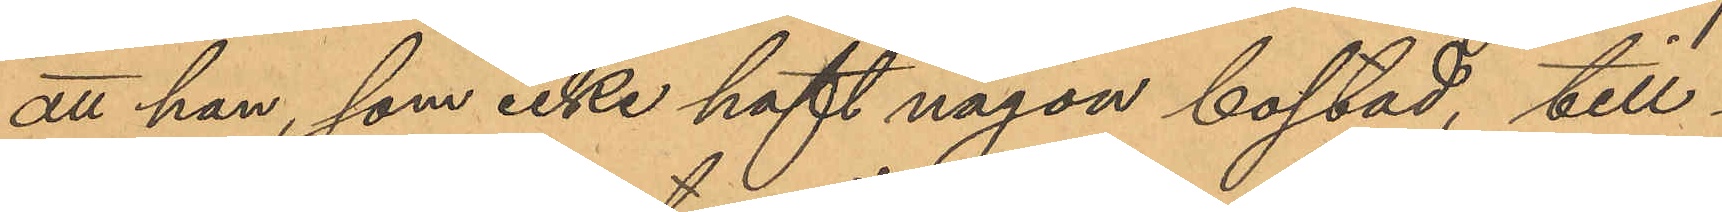att han, som icke haft någon bostad, till¬
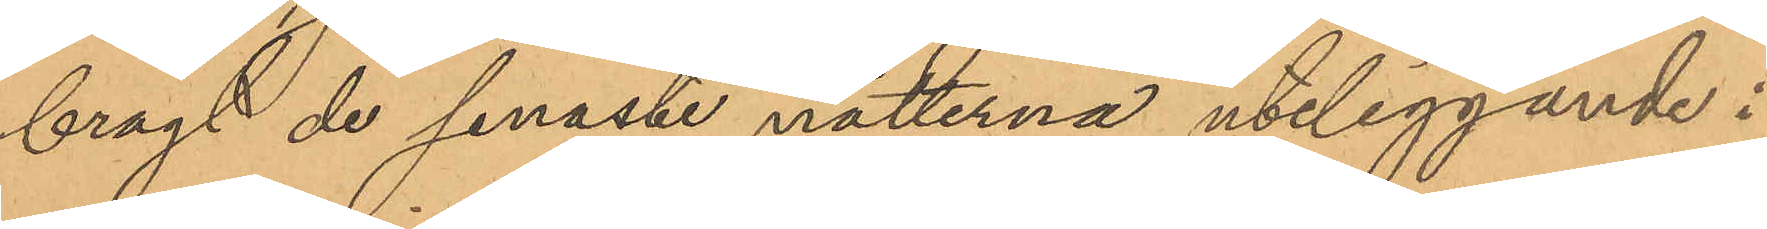bragt de senaste nätterna uteliggande i
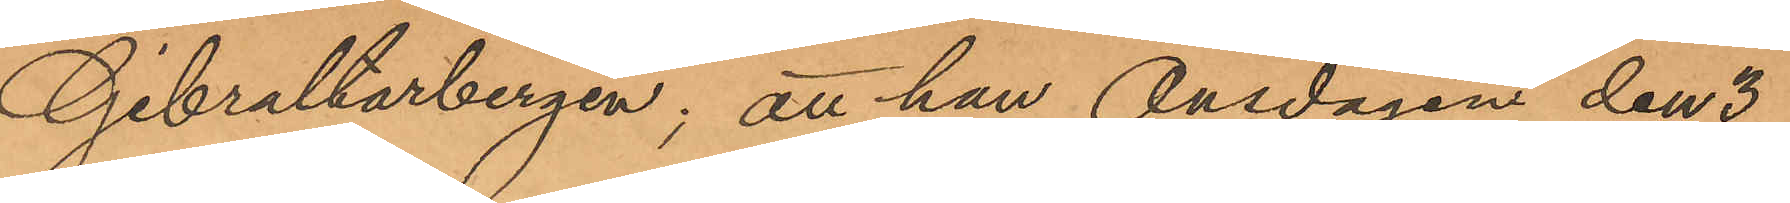Gibraltarbergen; att han Onsdagen den 3
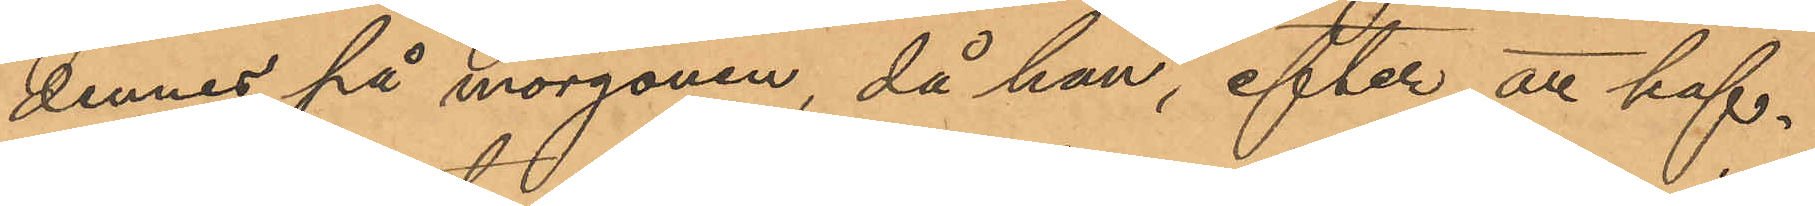dennes på morgonen, då han, efter att haf¬
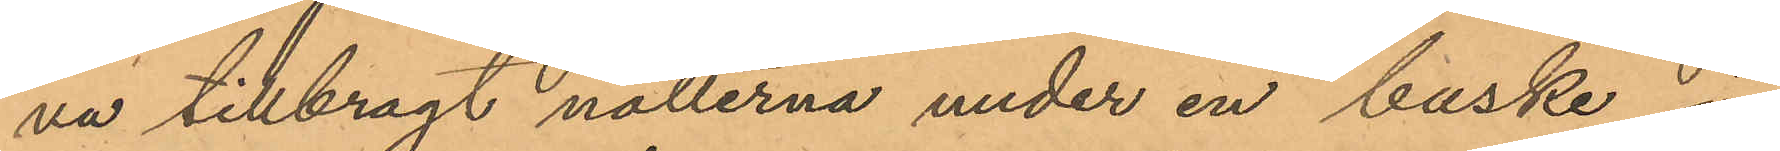va tillbragt nätterna under en buske i
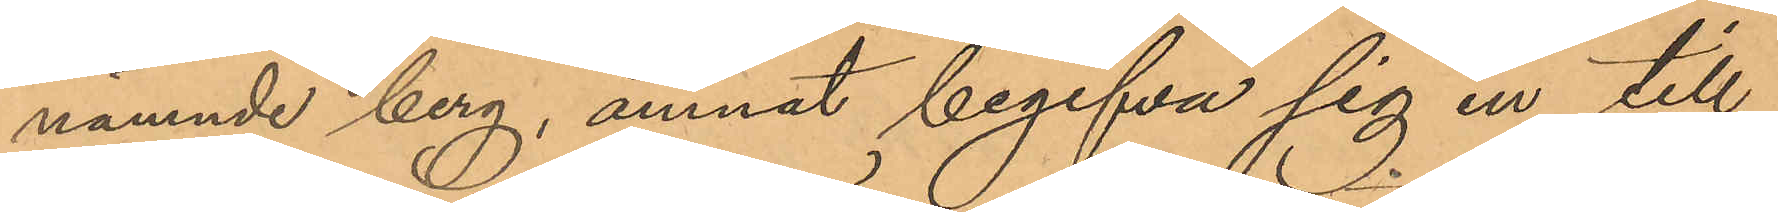nämnde berg, ämnat begifva sig in till
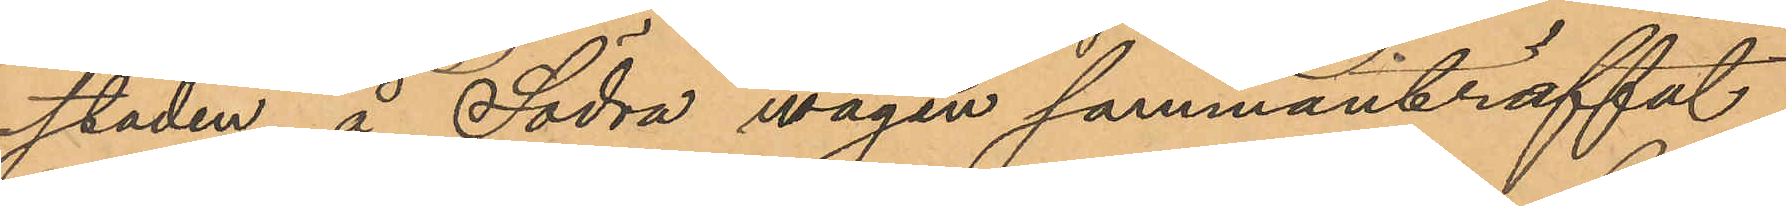staden, å Södra vägen sammanträffat
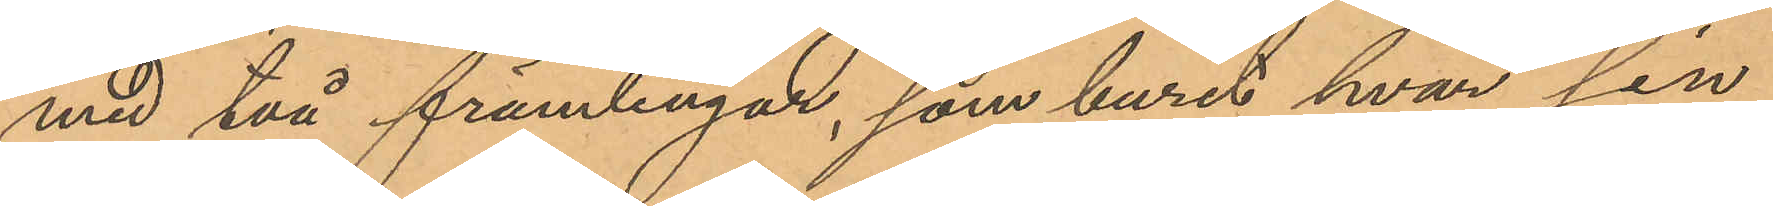med två främlingar, som burit hvar sin
